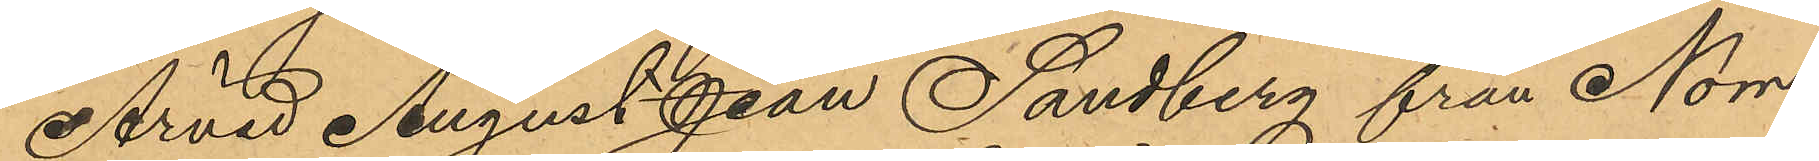Arvid August Jean Sandberg från Norr¬
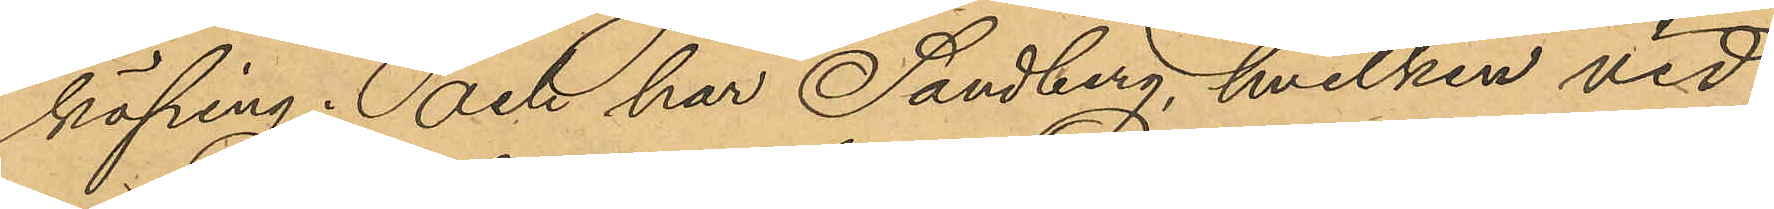köping; och har Sandberg, hvilken vid
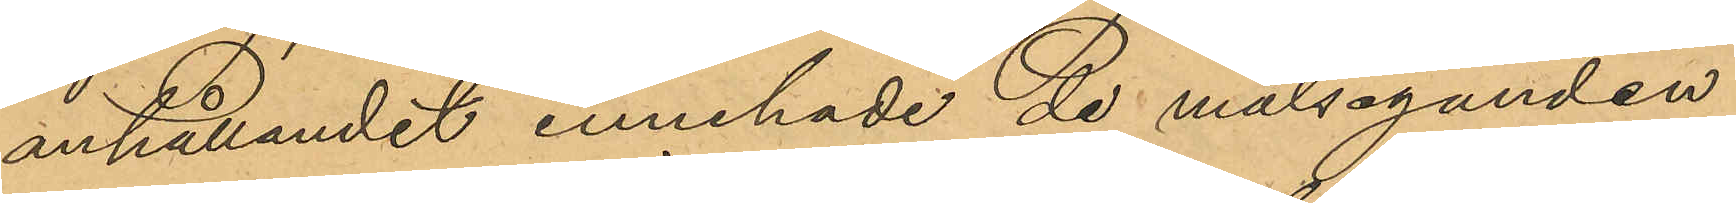anhållandet innehade de målseganden
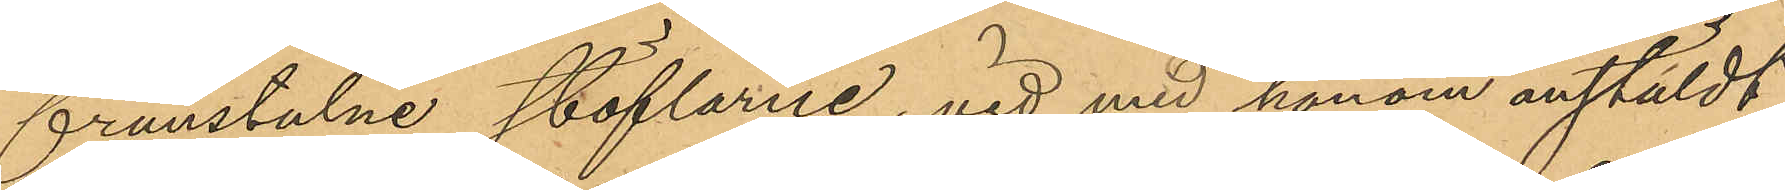frånstulne stöflarne, vid med honom anstäldt
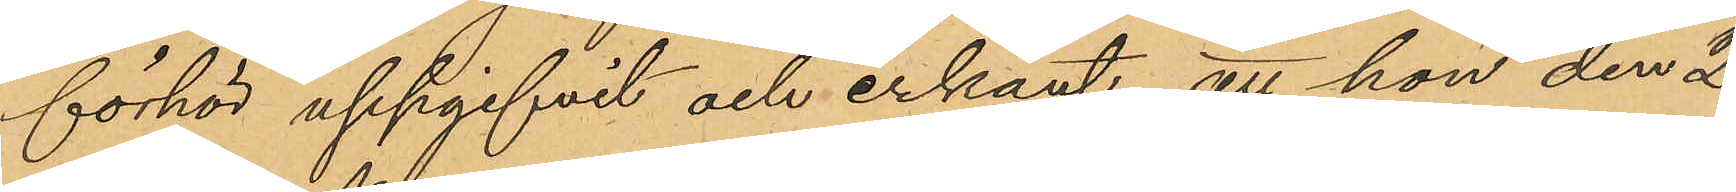förhör uppgifvit och erkänt, att han den 2
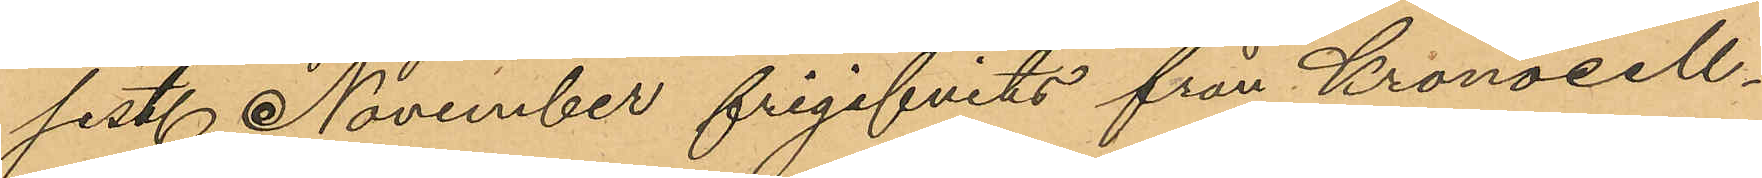sist. November frigifvits från Kronocell¬
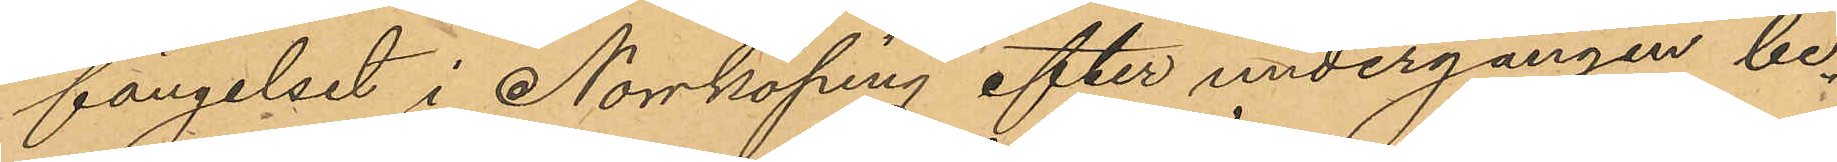fängelset i Norrköping efter undergången be¬
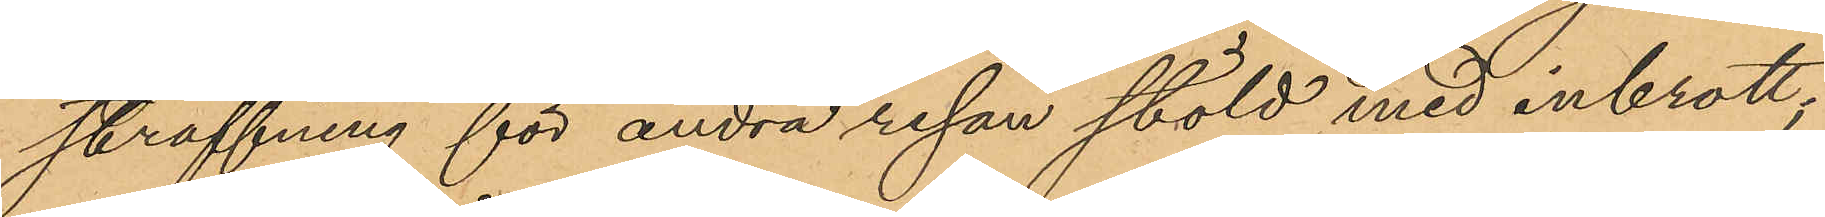straffning för andra resan stöld med inbrott;
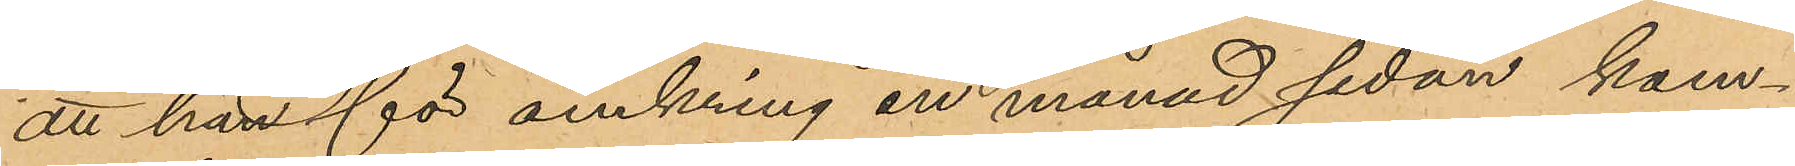att han för omkring en månad sedan kom¬
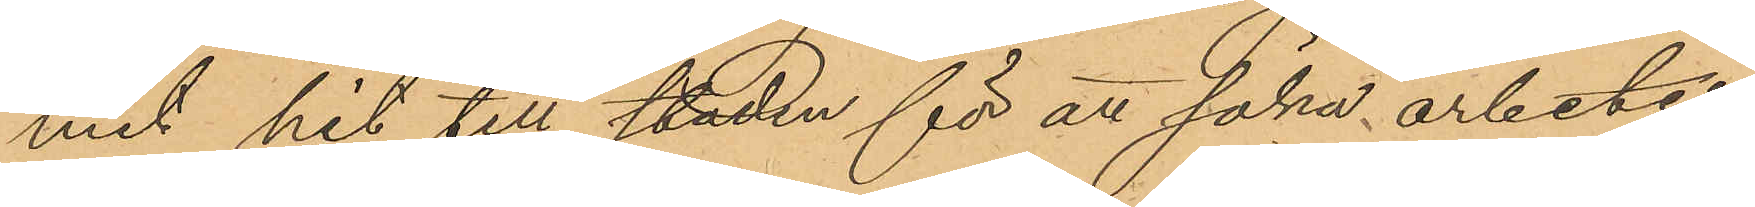mit hit till staden för att söka arbete,
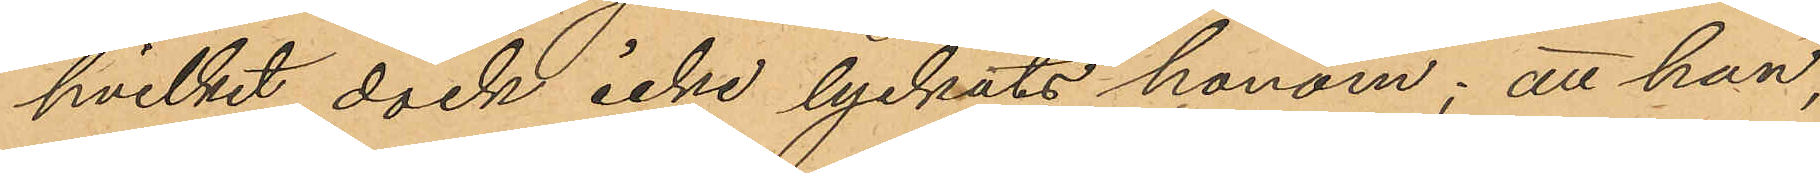hvilket dock icke lyckats honom; att han,
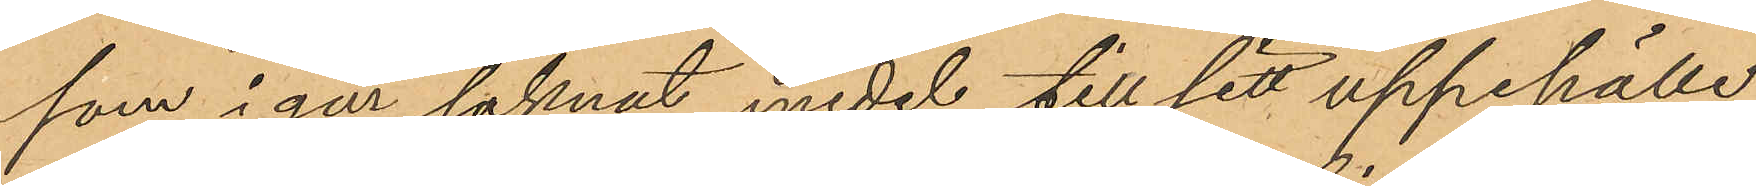som i går saknat medel till sitt uppehälle,
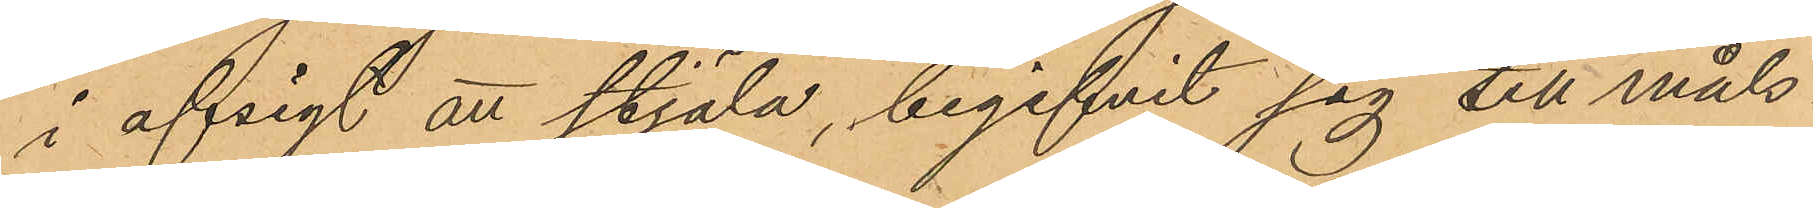i afsigt att stjäla, begifvit sig till måls¬
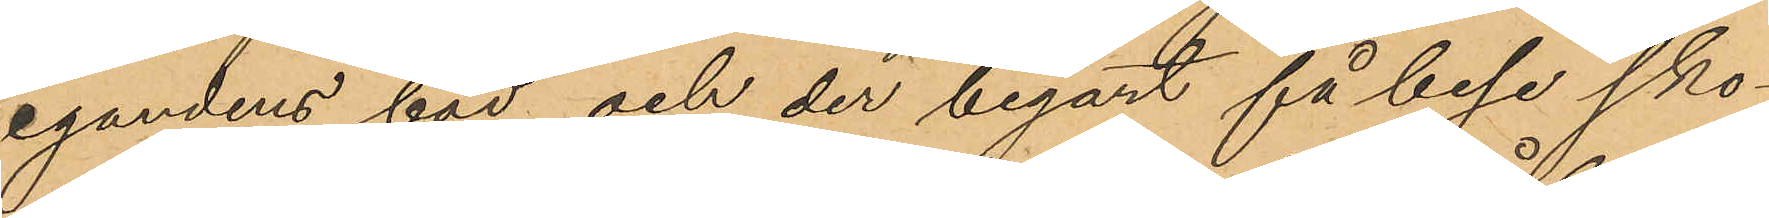egandens bod och der begärt få bese sko¬
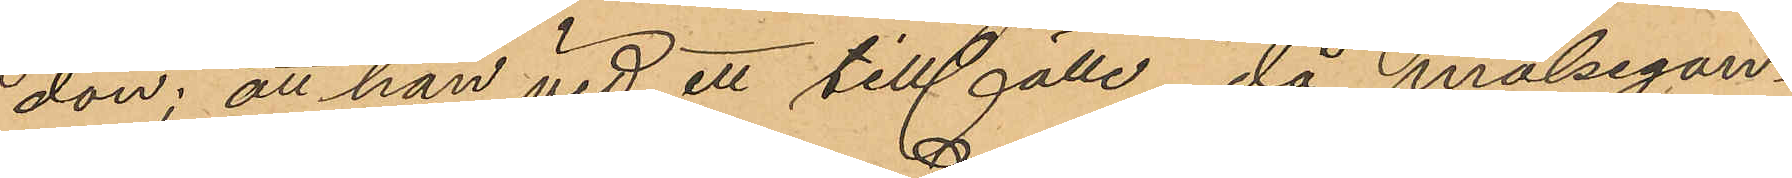don; att han vid ett tillfälle, då målsegan¬
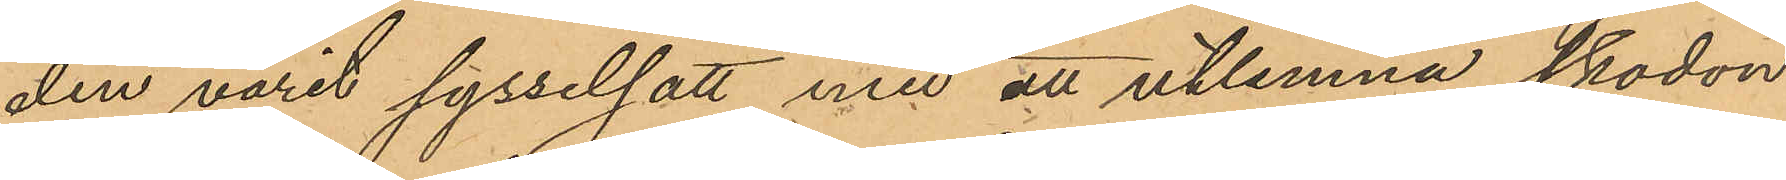den varit sysselsatt med att utlemna skodon
